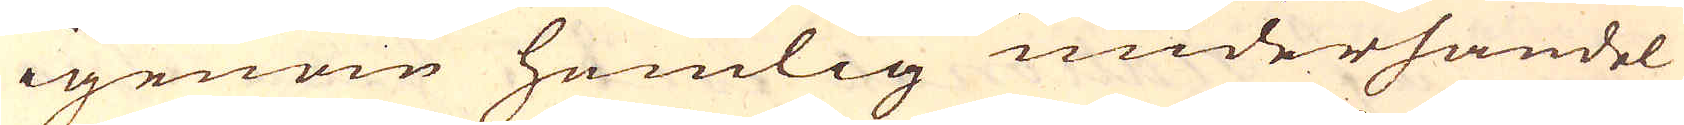igenom hemlig underhandel
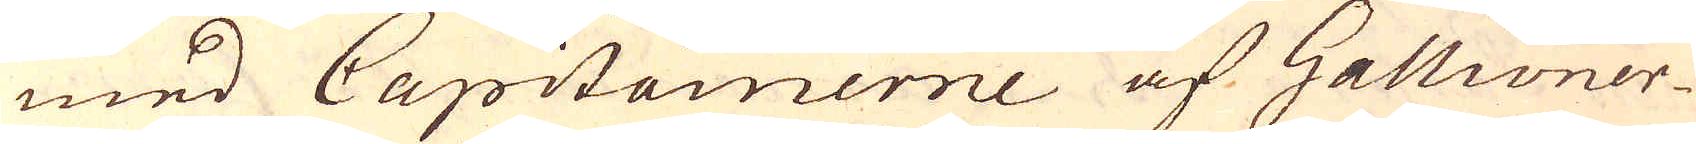med Capitainerne af Gallioner-
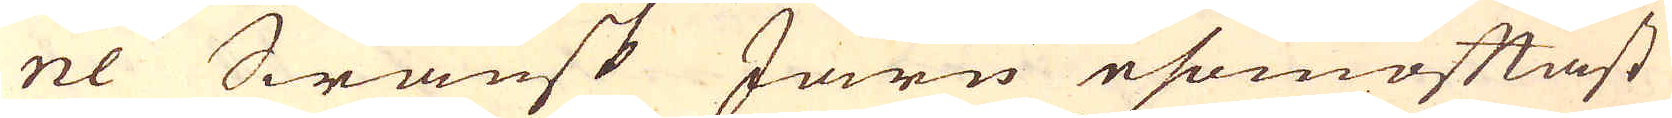ne Swänsk Järn esomoftast
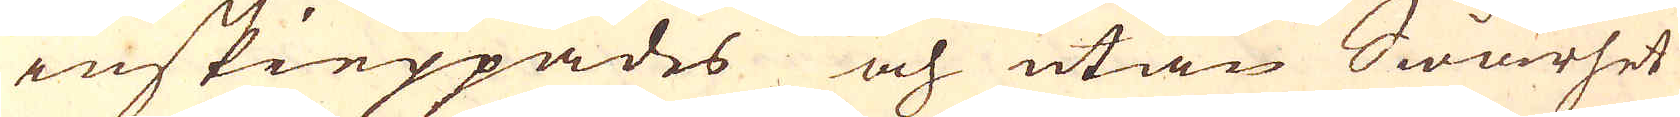inskieppades och utan Swårhet
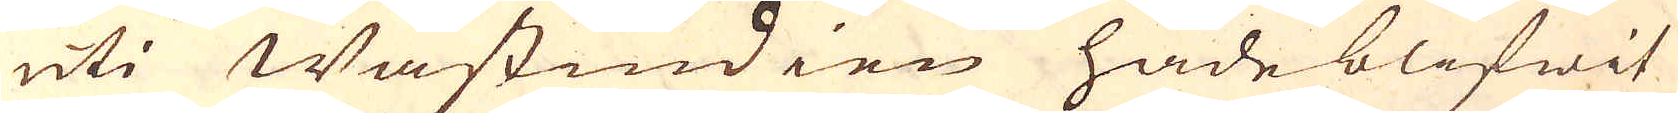uti Wästindien hade blifwit
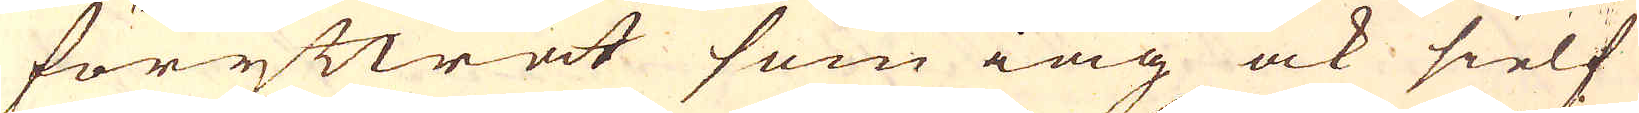föryttrat som iag ock sielf
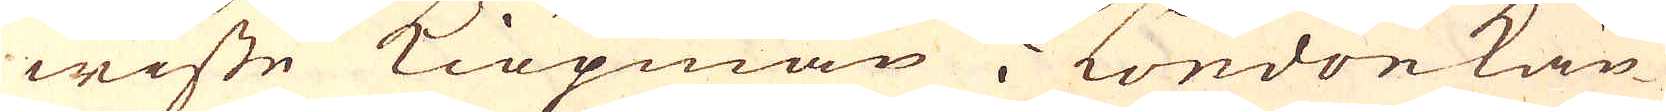wiste Kiöpmän i London kän-
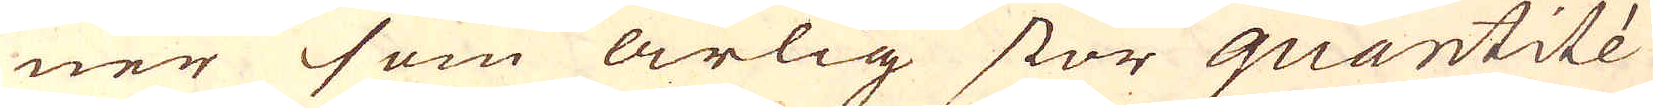ner som årlig stor quantité
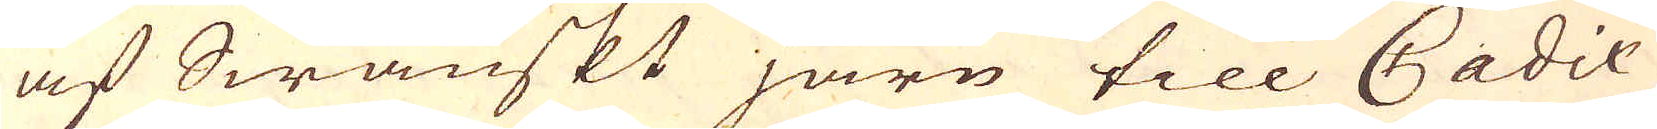af Swänskt järn till Cadix
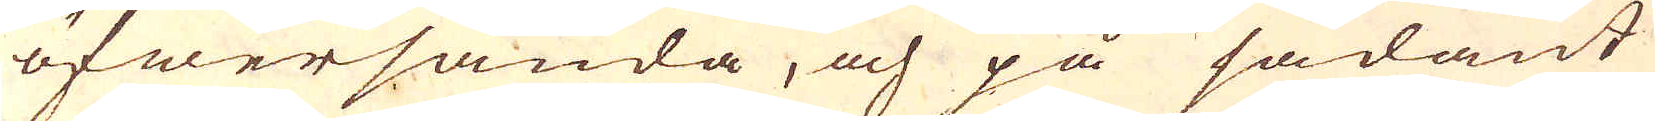öfwersända, och på sådant
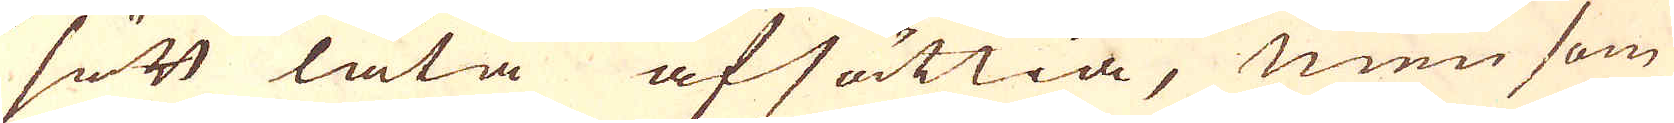sätt låta afsättia, men som
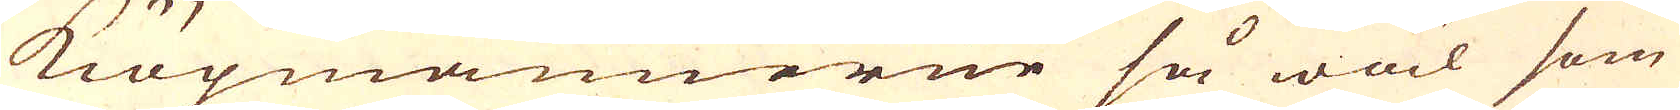kiöpmännerne så wäl som
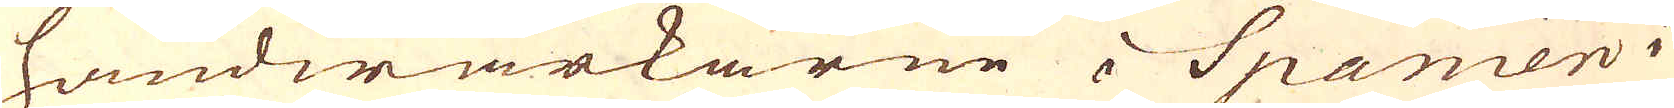handwärkarne i Spanien i
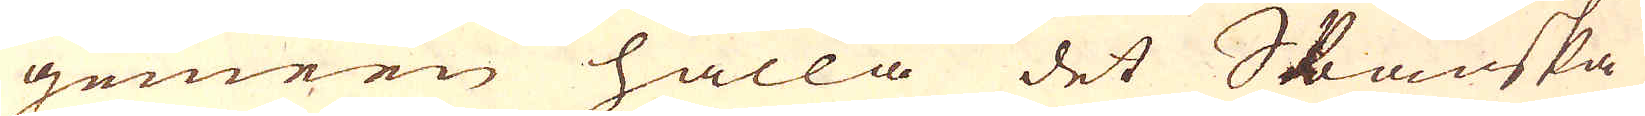gemeen hålla det Spanska
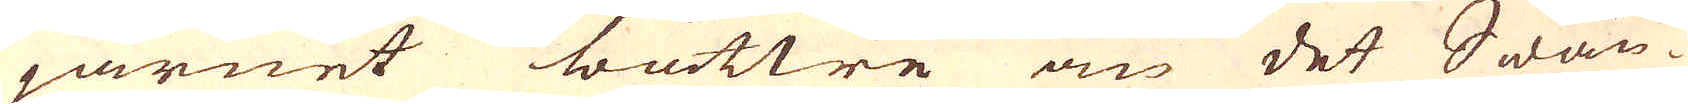järnet bättre än det Swän-
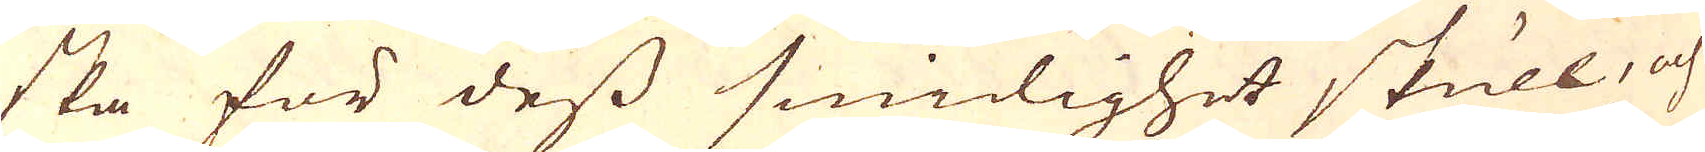ska för dess smidighet skull, och
